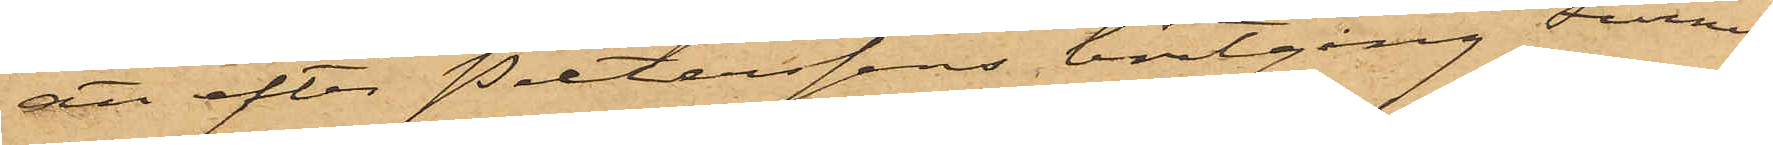att efter Pietersens bortgång Furness
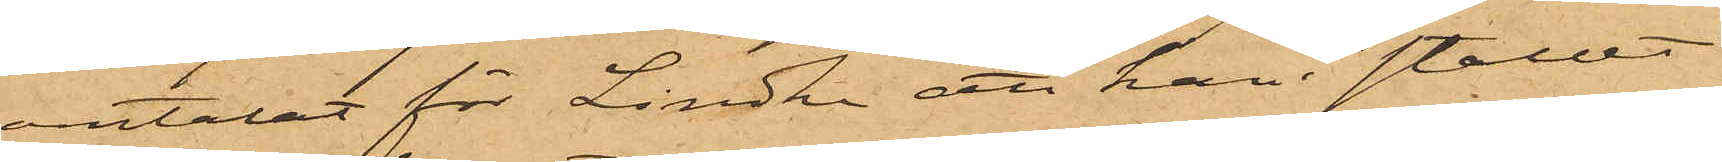omtalat för Lindhe att han i stallet
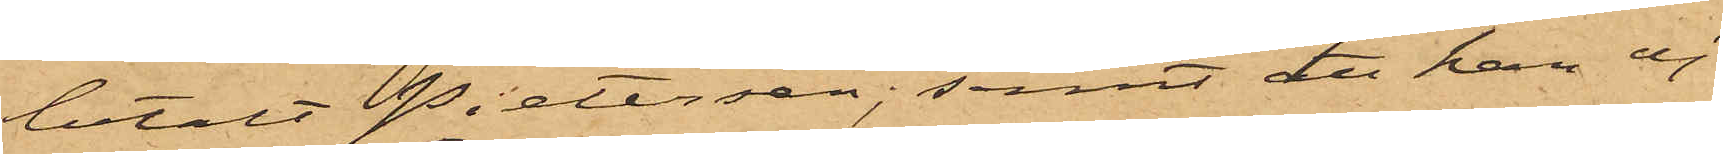betalt Pietersen samt att han ej
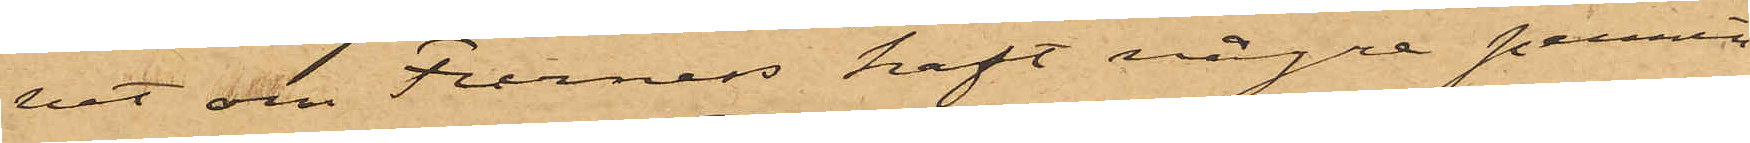vet om Furness haft några pennin¬
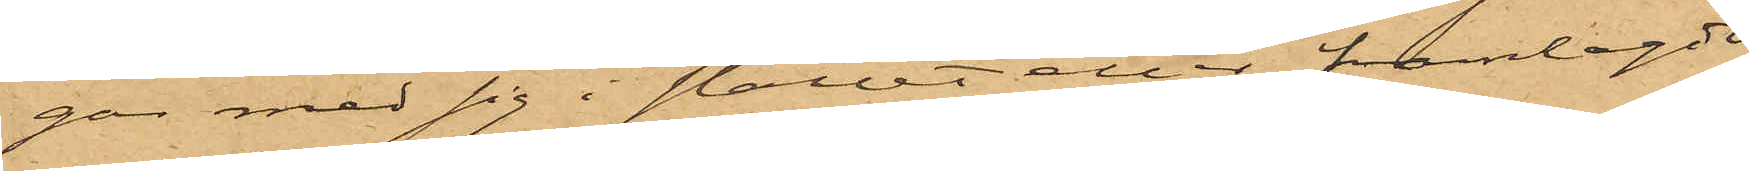gar med sig i stallet eller framlagde
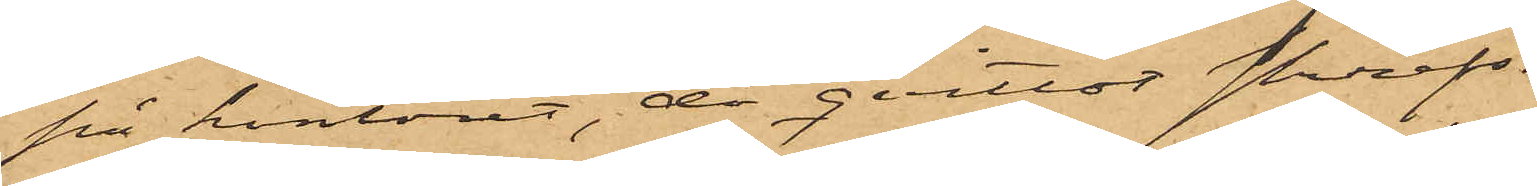på kontoret, då qvittot skrefs.
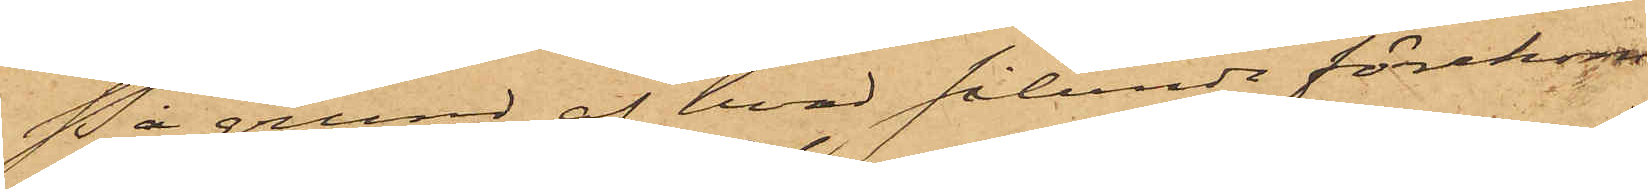På grund af hvad sålunda förekom¬
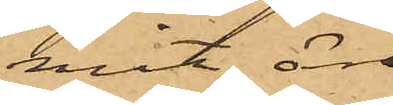mit, äro
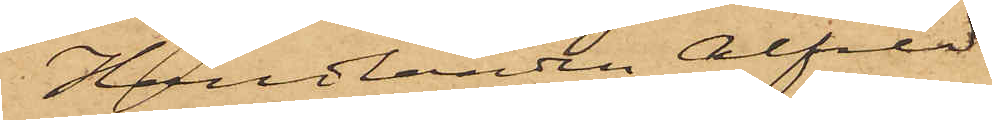Handlanden Alfred
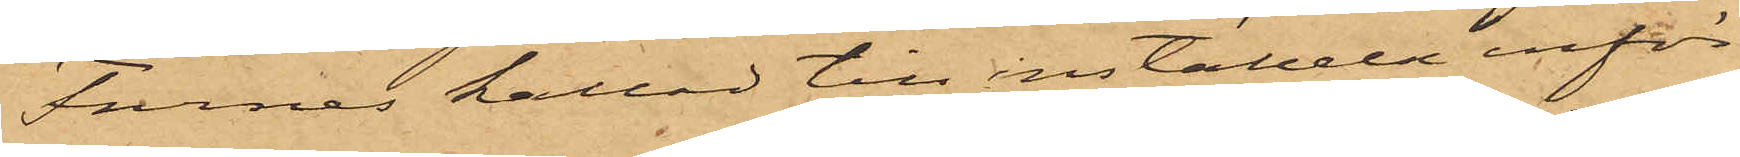Furness kallad till inställelse inför
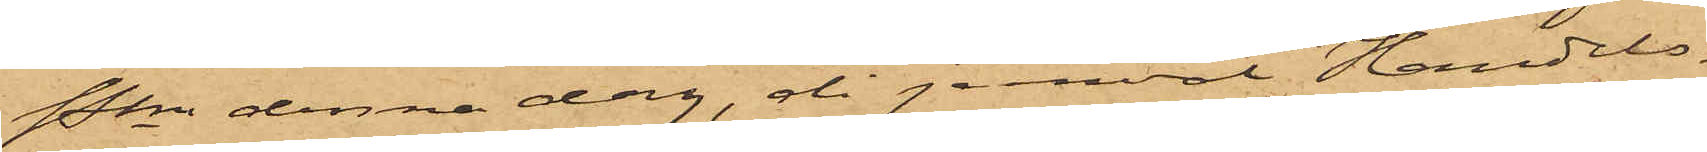Pkn denna dag, då jemväl Handels¬
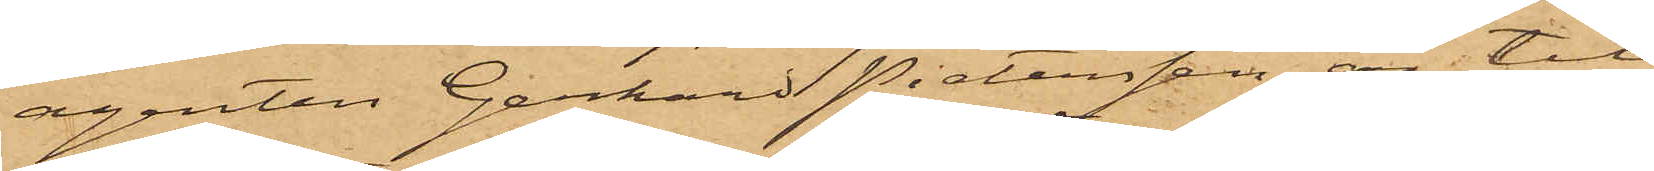agenten Gerhard Pietersen är til¬
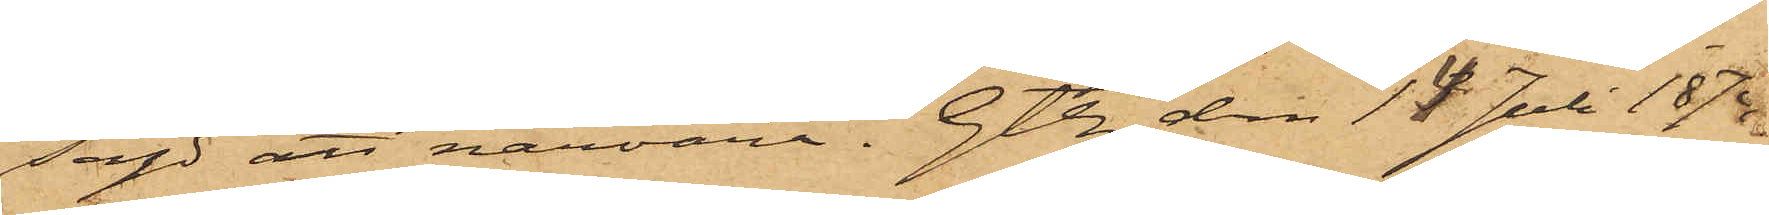sagd att närvara. Gtbg den 14 Juli 1874.
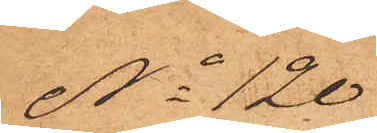No 120
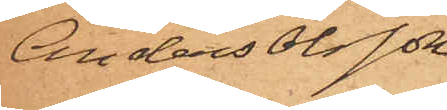Anders Olsson
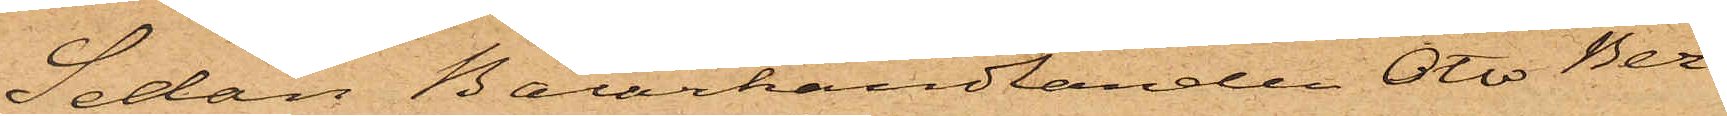Sedan Bazarhandlanden Otto Ber¬
